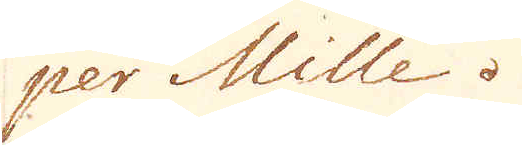per Mille.
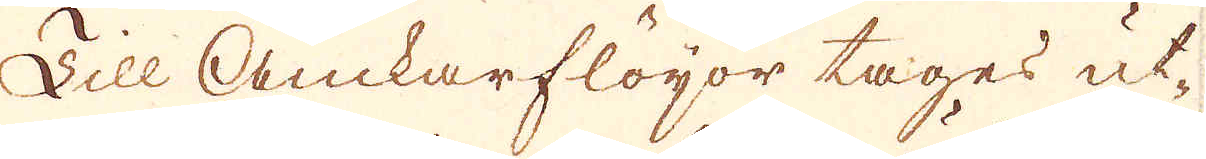Till Ackarflöijor tages ut-
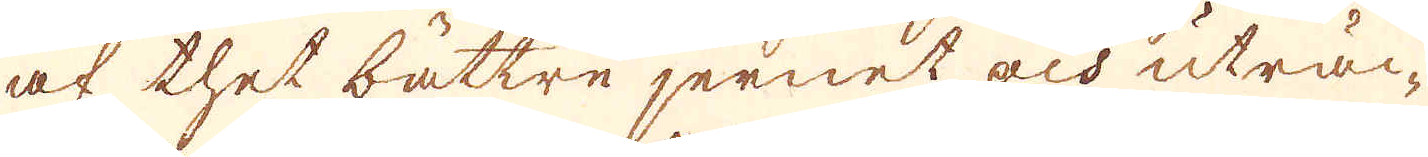af thet bättre jernet och uträc-
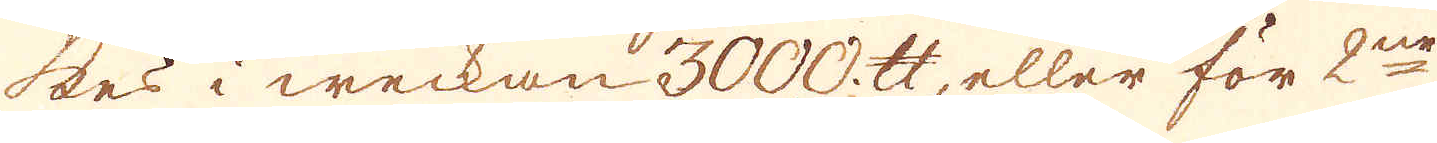kes i weckan 3000 skålpund, eller för 2ne
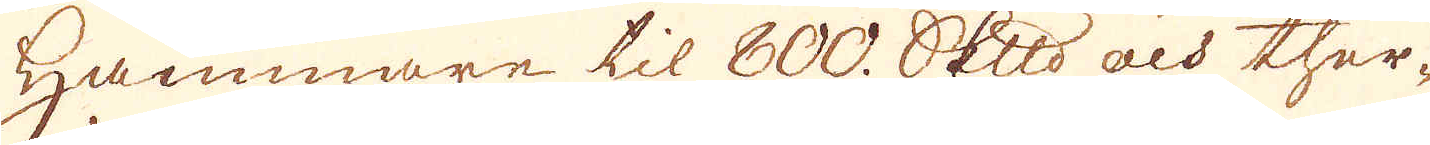Hammare til 800. skeppund och ther-
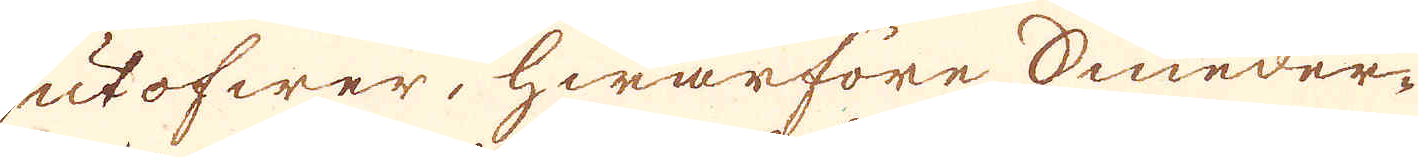utöfwer, hwarföre Smeder-
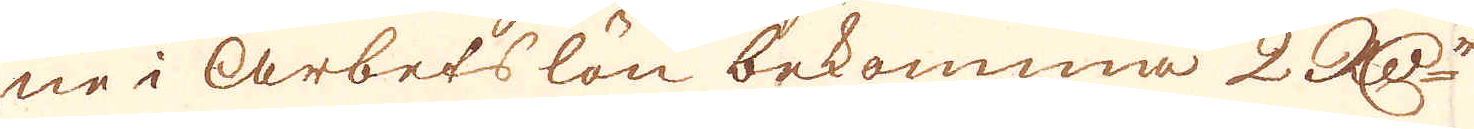ne i Arbetslön bekomma 2 R:Dr
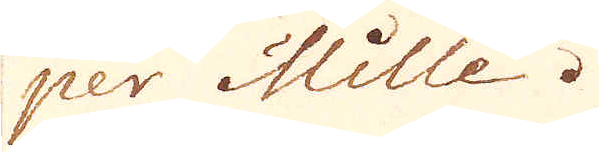per Mille.
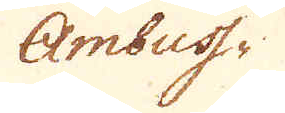Ambuss-
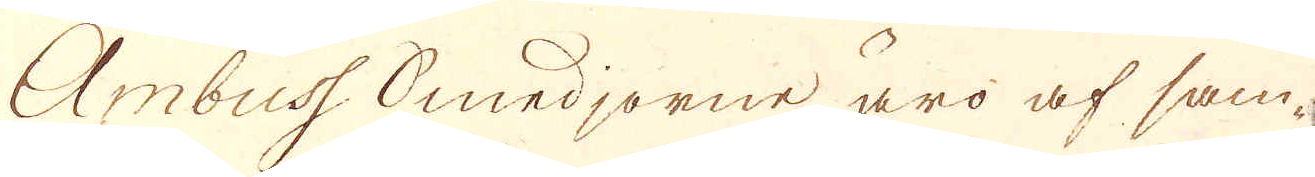Ambuss Smedjorne äro af sam-
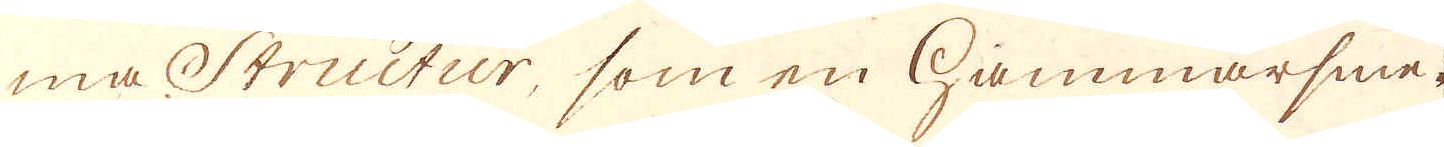ma Structur, som en Hammarsme-
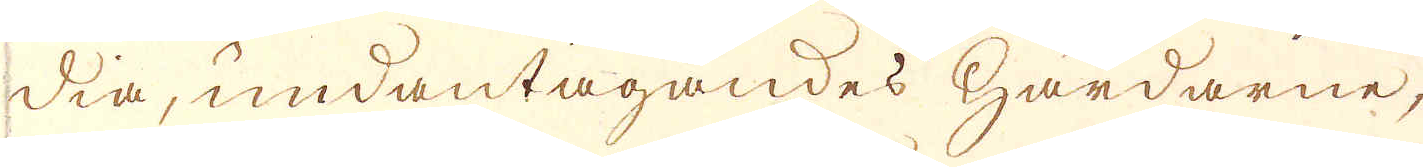dia, undantagandes Härdarne,
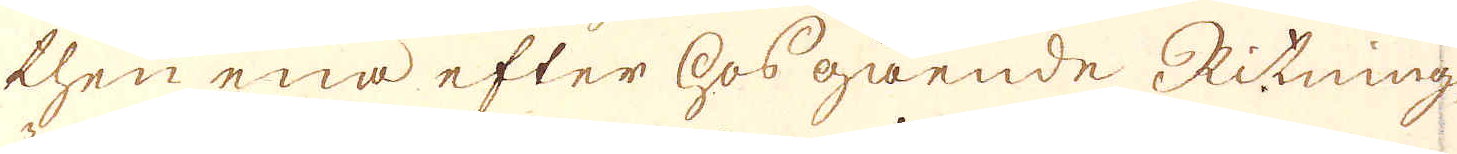then ena efter hosgående Ritning,
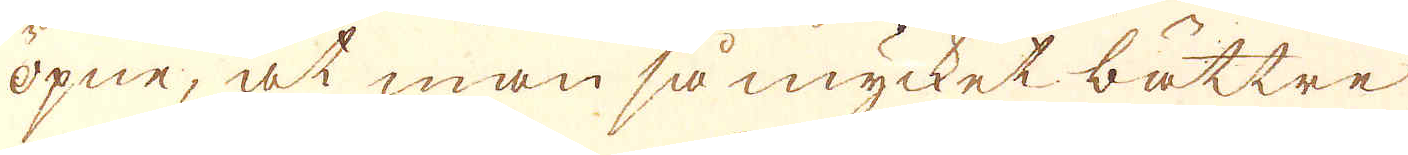öpne, at man så mycket bättre
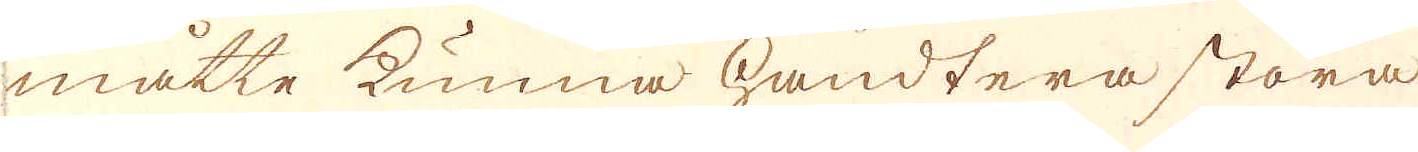måtte kunna handtera stora
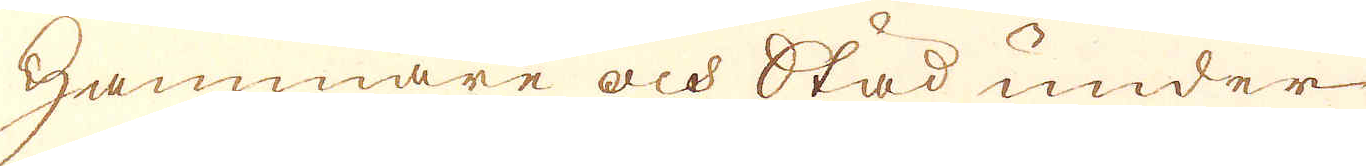Hammare och Städ under
